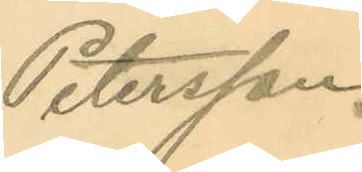Petersson.
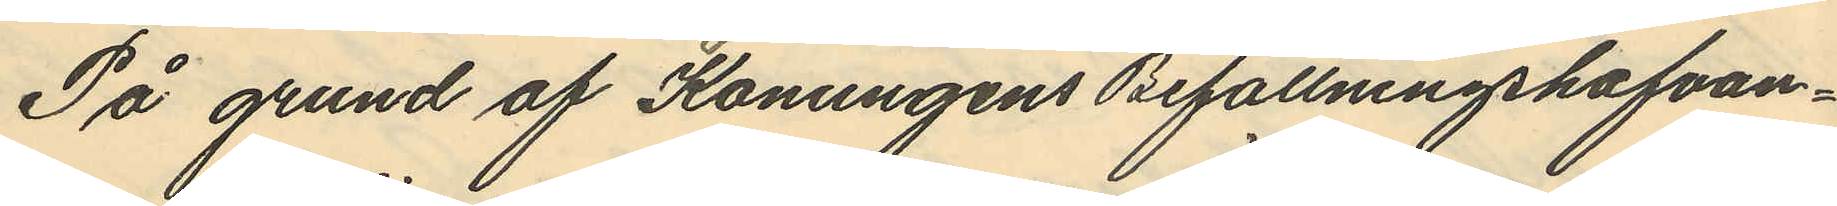På grund af Konungens Befallningshafvan¬
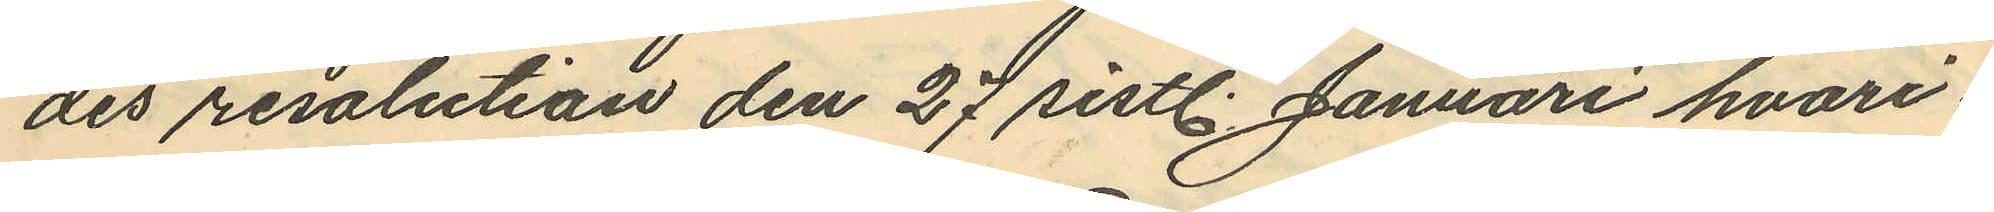des resolution den 27 sistl. Januari hvari¬
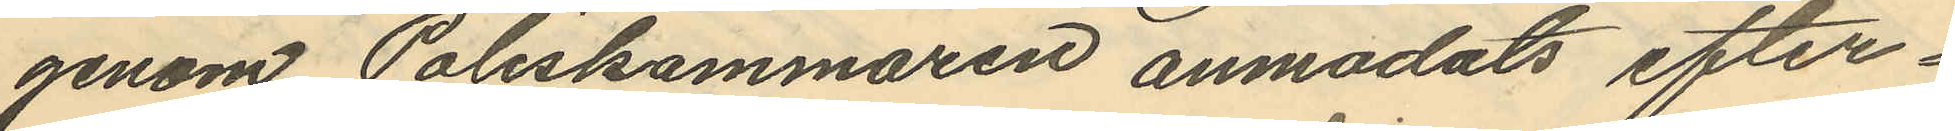genom Poliskammaren anmodats efter¬
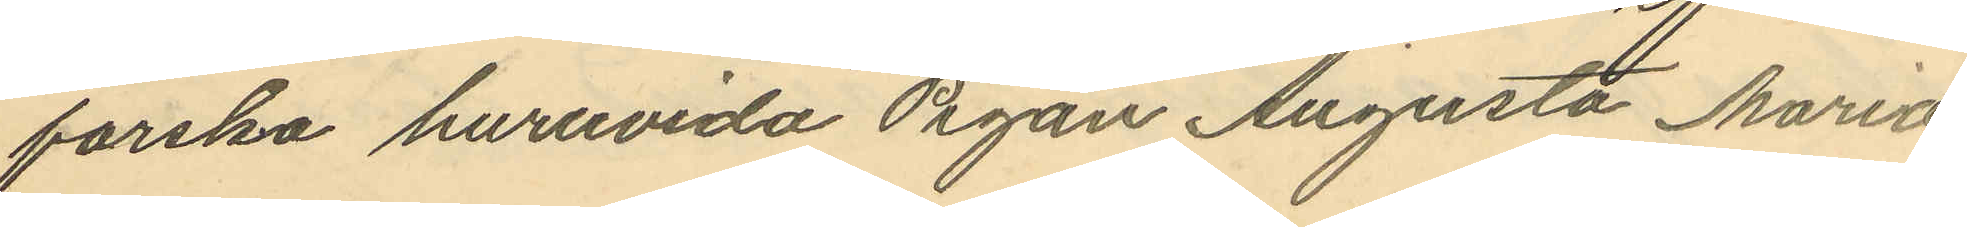forska huruvida Pigan Augusta Maria
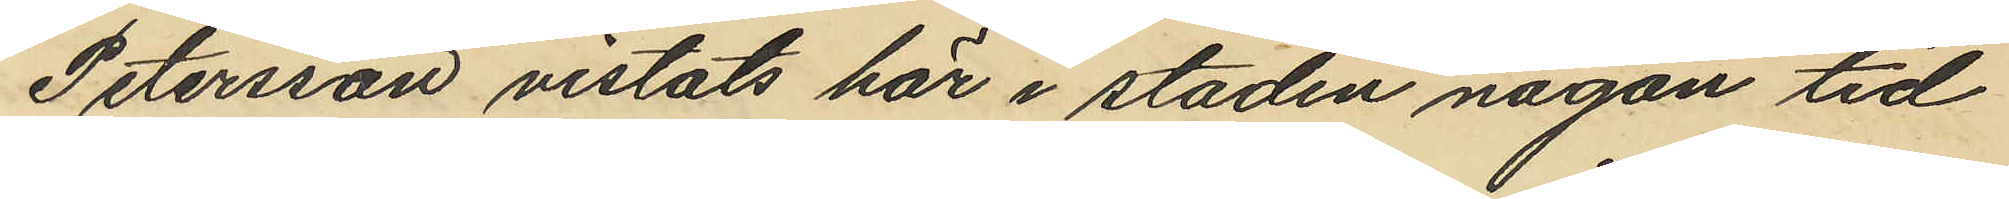Petersson vistats här i staden någon tid
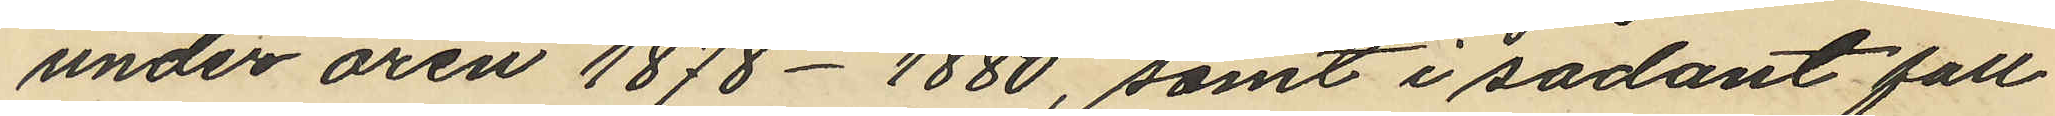under åren 1878-1880, samt i sådant fall
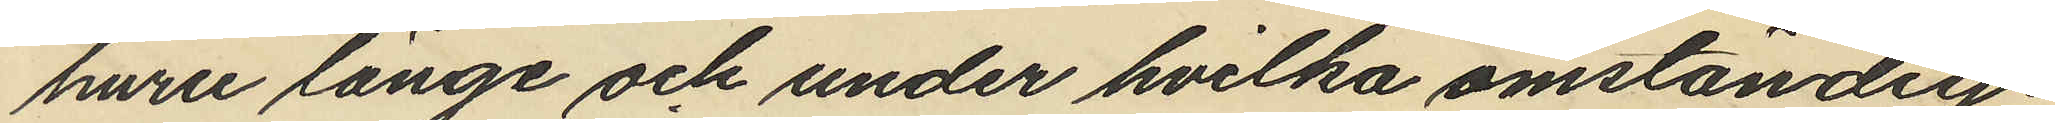huru länge och under hvilka omständig¬
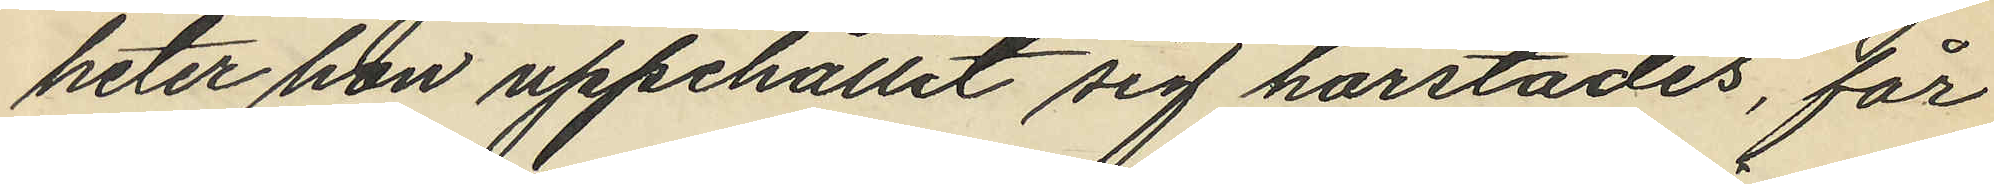heter hon uppehållit sig härstädes, får
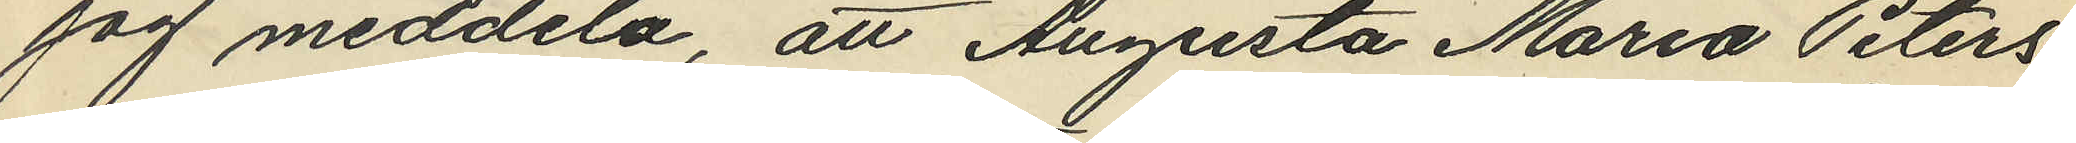jag meddela, att Augusta Maria Peters¬
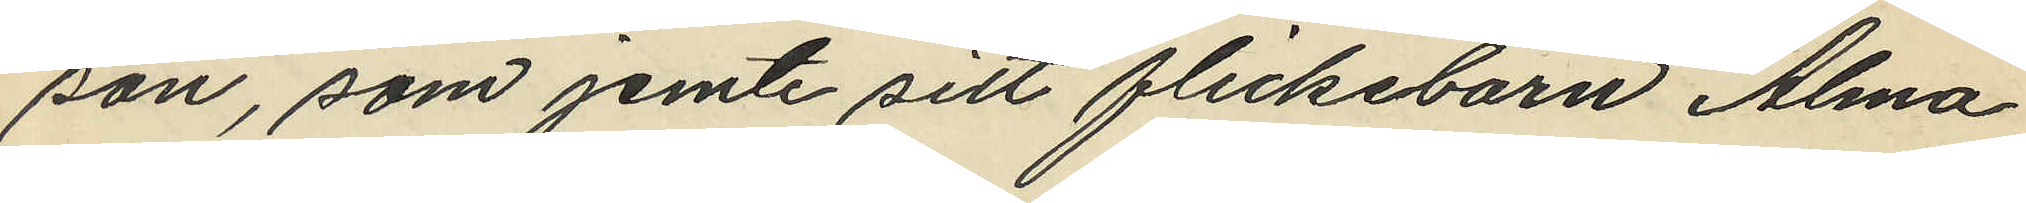son, som jemte sitt flickebarn Alma
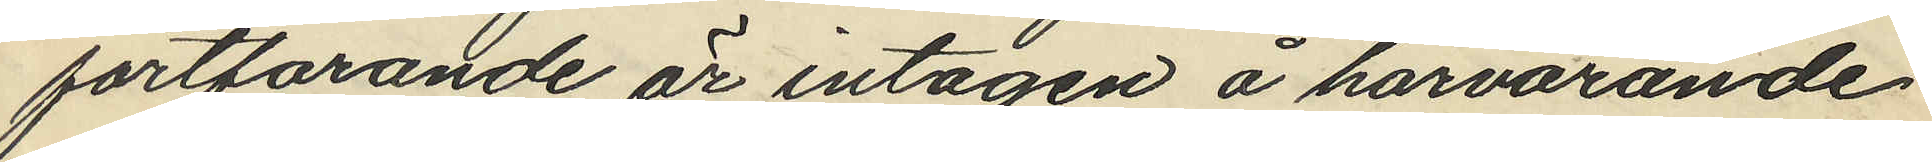fortfarande är intagen å härvarande
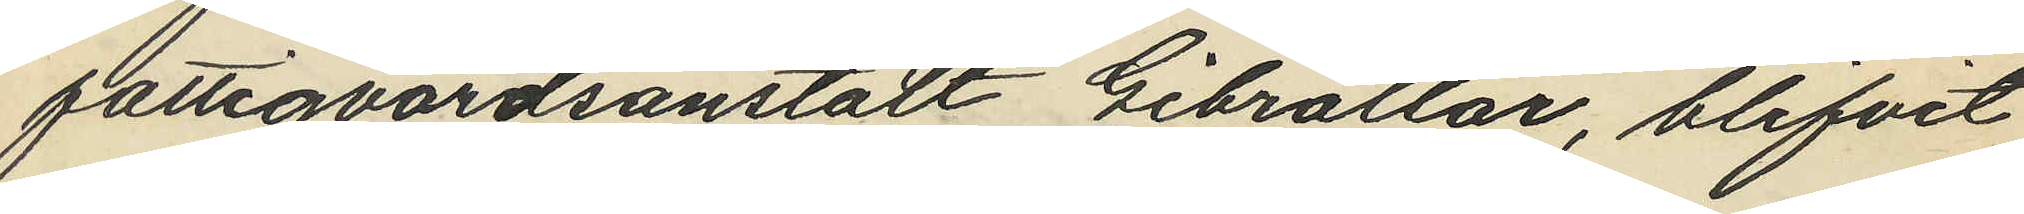fattigvårdsanstalt Gibraltar, blifvit
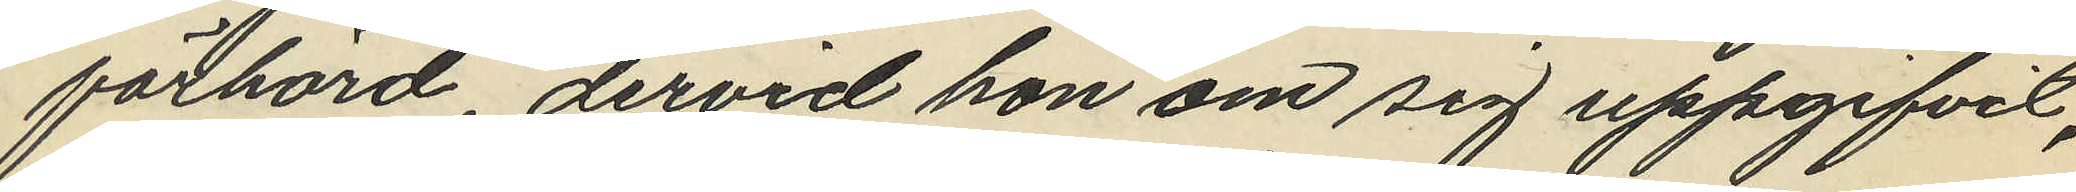förhörd, dervid hon om sig uppgifvit,
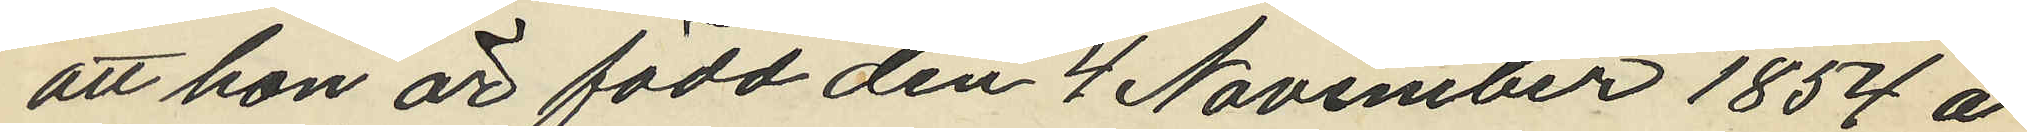att hon är född den 4 November 1854 å
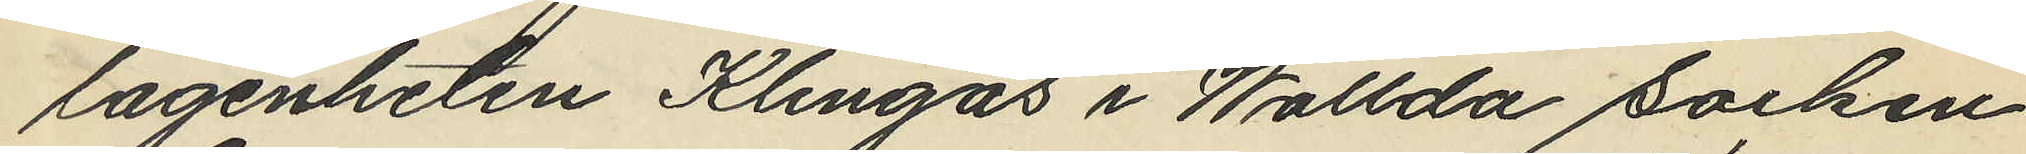lägenheten Klingås i Wallda socken
